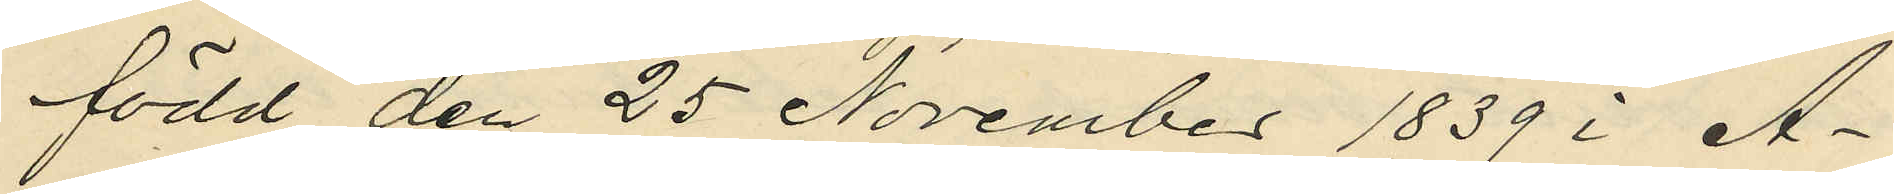född den 25 November 1839 i A¬
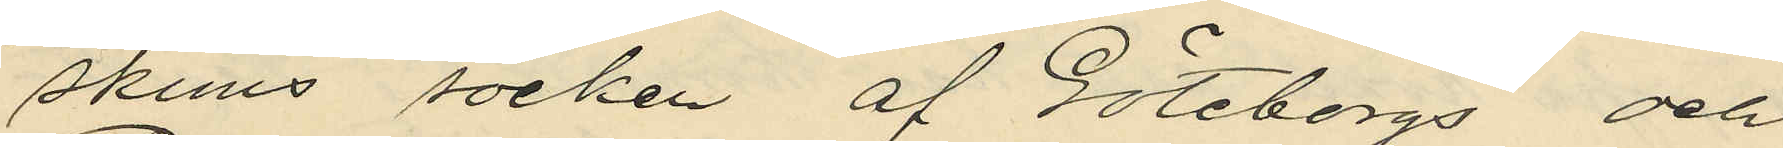skims socken af Göteborgs och
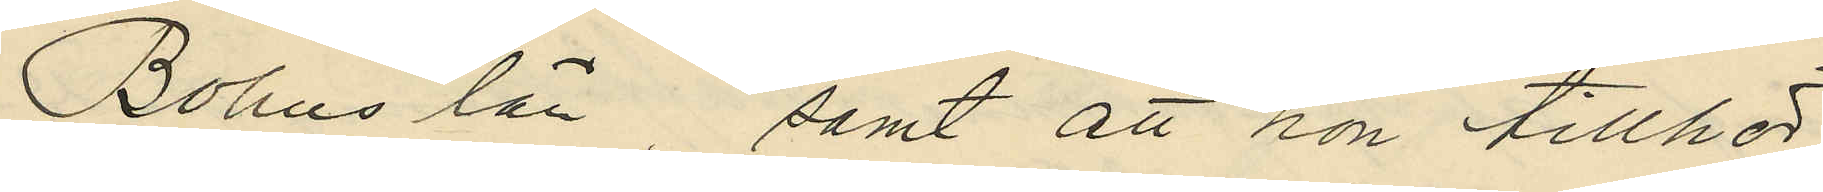Bohus län, samt att hon tillhör
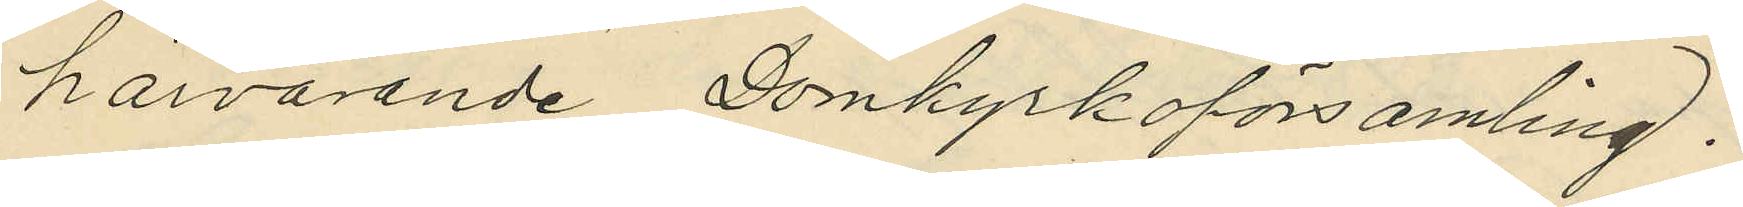härvarande Domkyrkoförsamling.
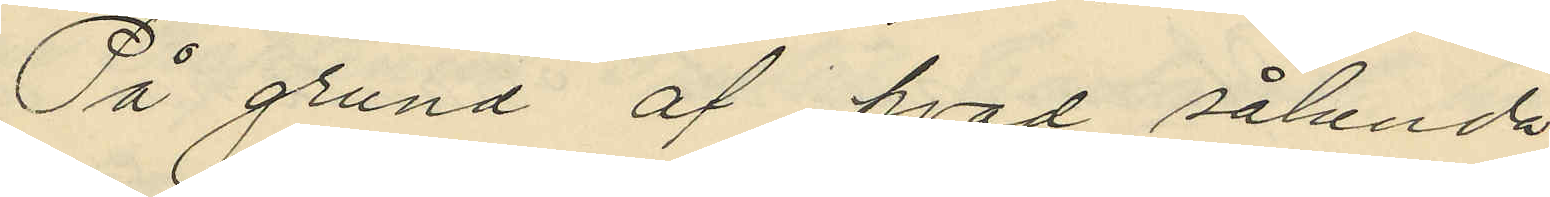På grund af hvad sålunda
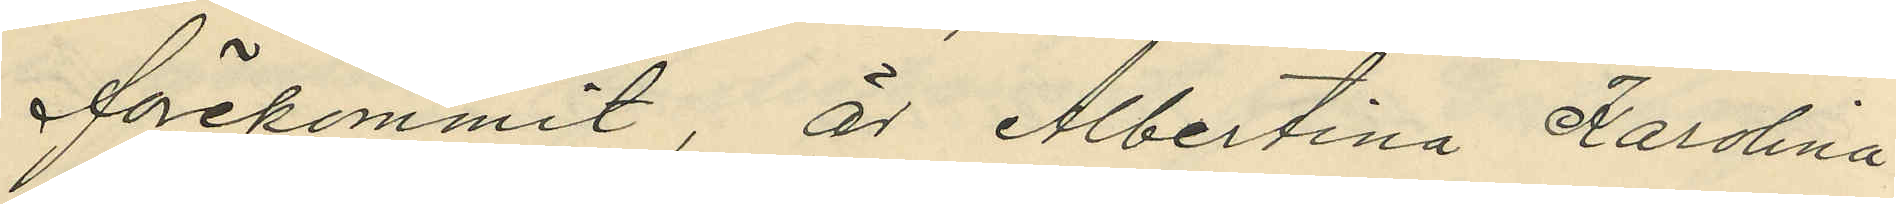förekommit, är Albertina Karolina
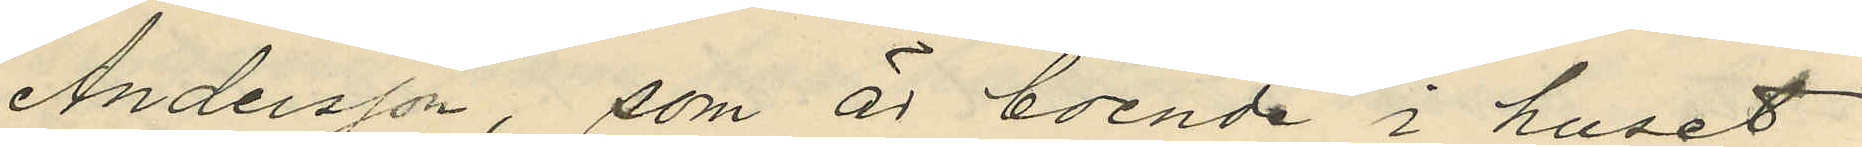Andersson, som är boende i huset
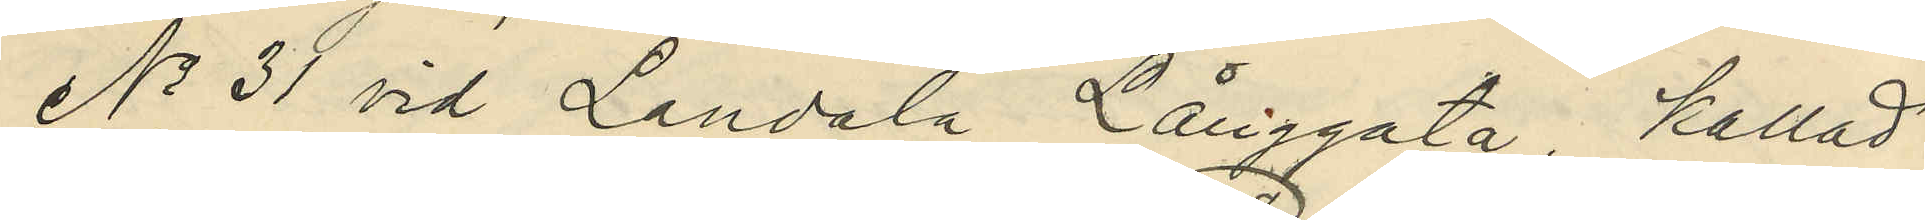No 31 vid Landala Långgata, kallad
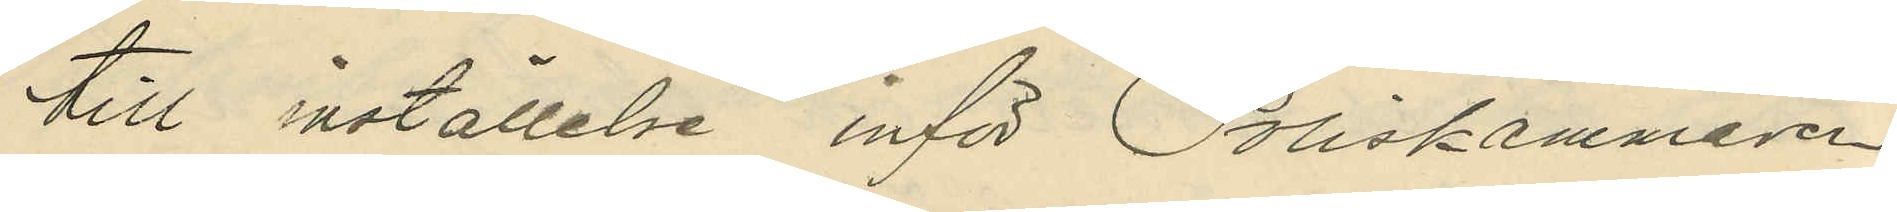till inställelse inför Poliskammaren
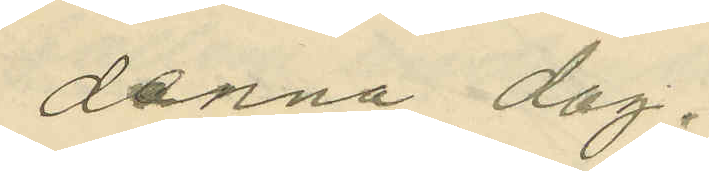denna dag.
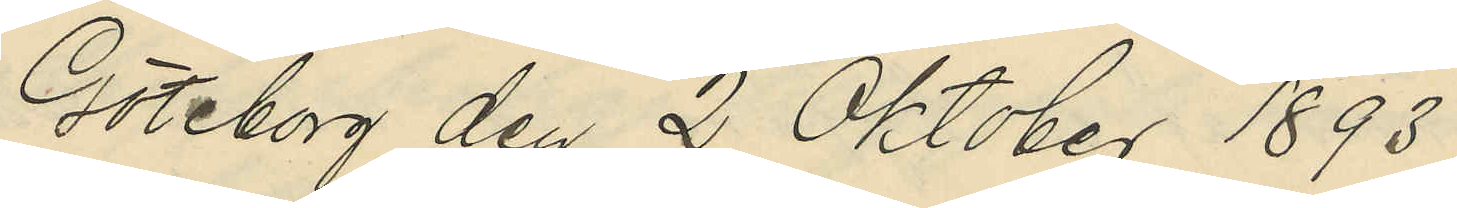Göteborg den 2 Oktober 1893
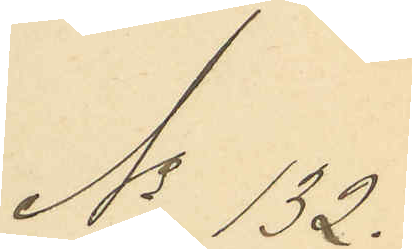No 132.
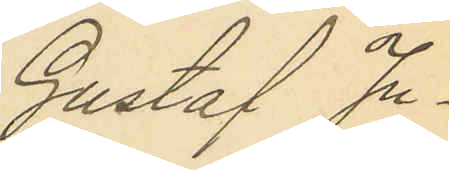Gustaf Ju¬
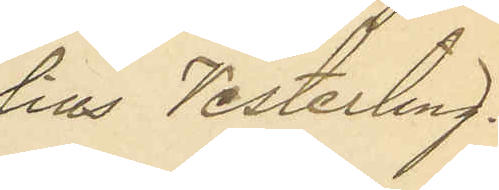lius Vesterling.
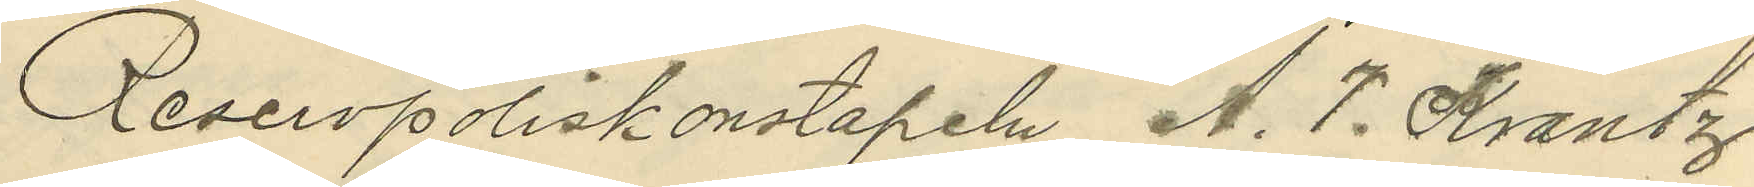Reservpoliskonstapeln A. T. Krantz
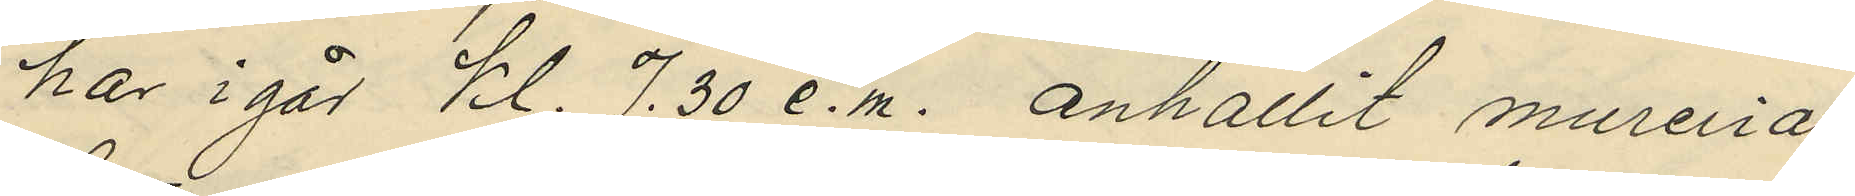har i går kl. 7.30 e.m. anhållit mureriar¬
